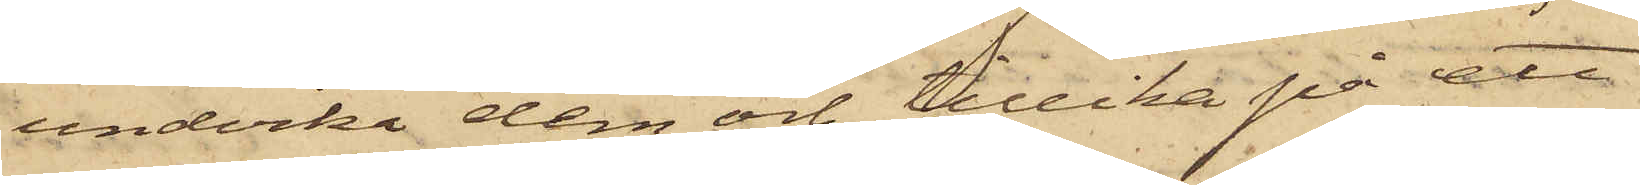undvika dem och tillika på ett
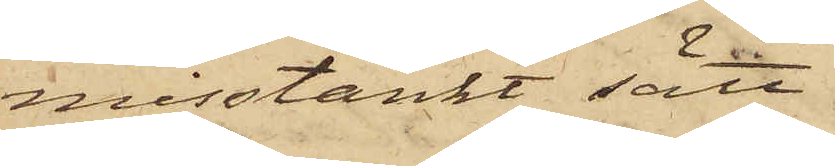misstänkt sätt
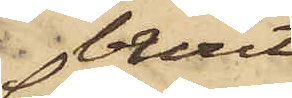burit
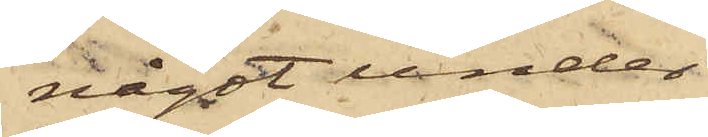något under
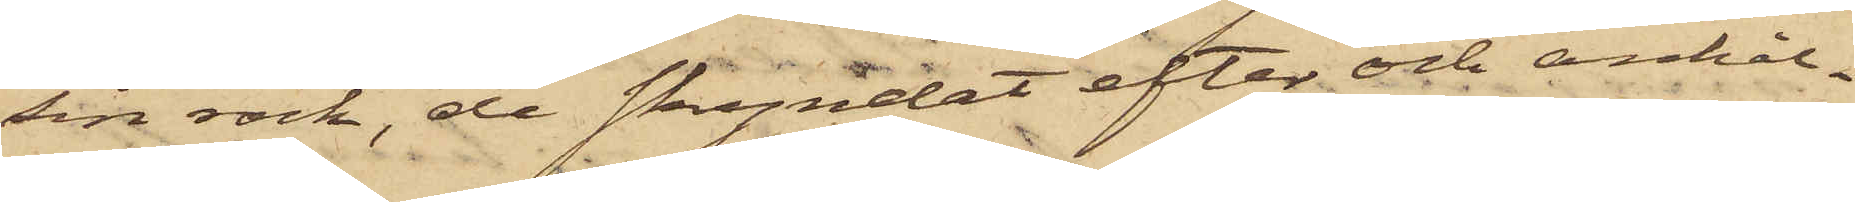sin rock, de skyndat efter och anhål¬
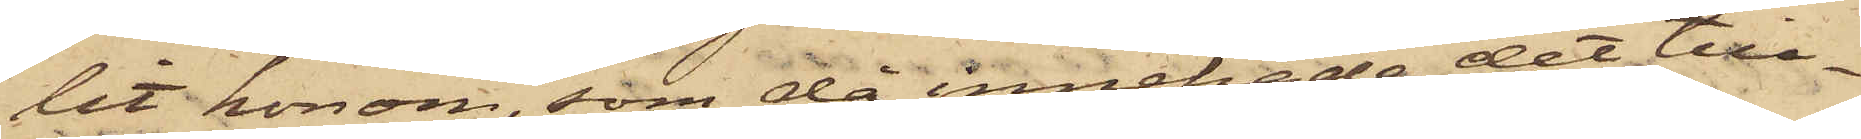lit honom, som då innehade det till¬
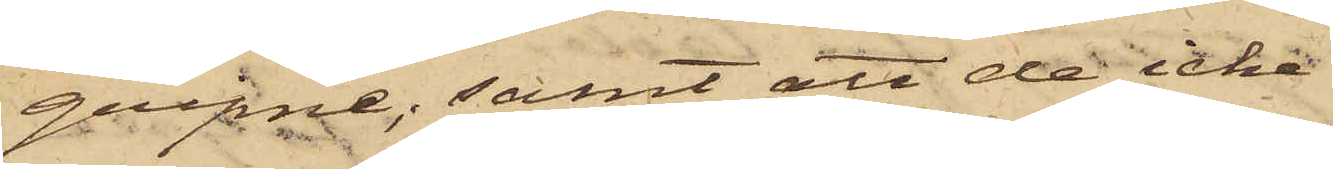gripne; samt att de icke
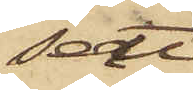sett
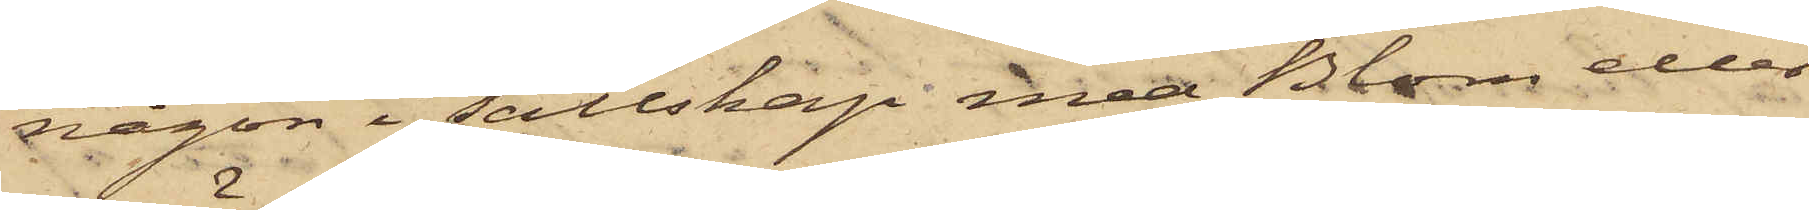någon i sällskap med Blom eller
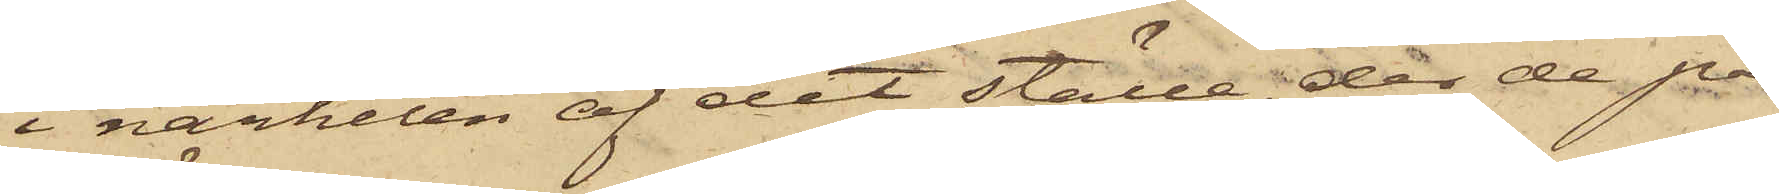i närheten af det ställe, der de på¬
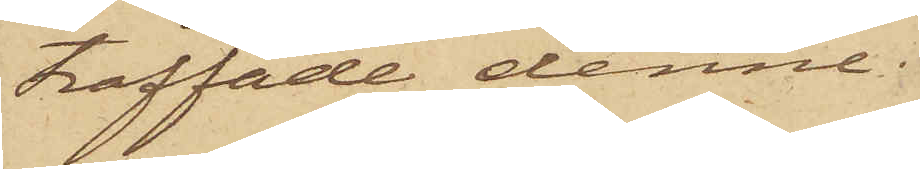träffade denne.
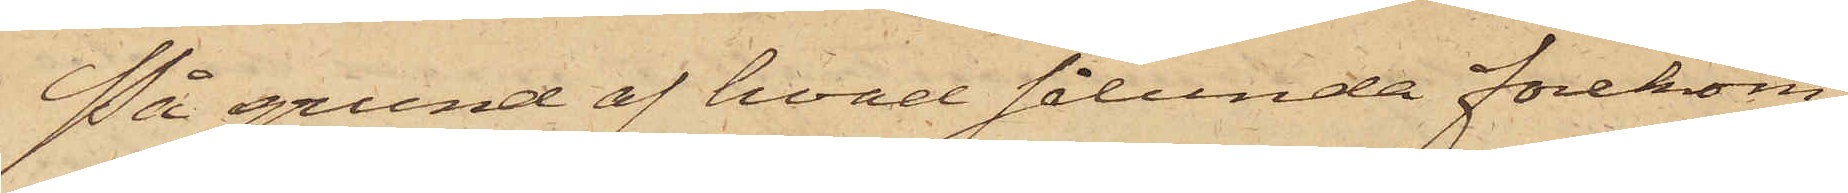På grund af hvad sålunda förekom¬
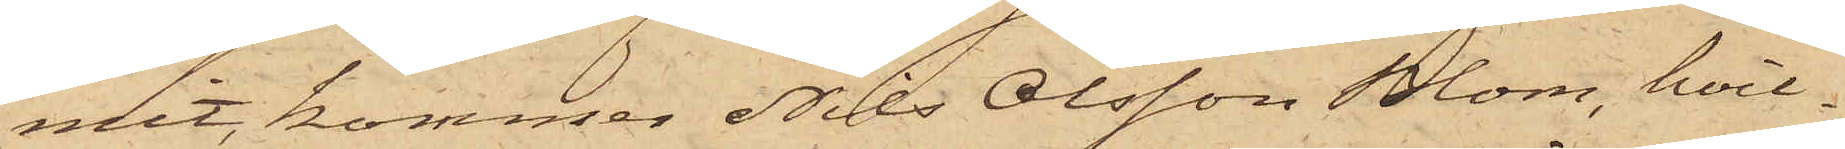mit, kommer Nils Olsson Blom, hvil¬
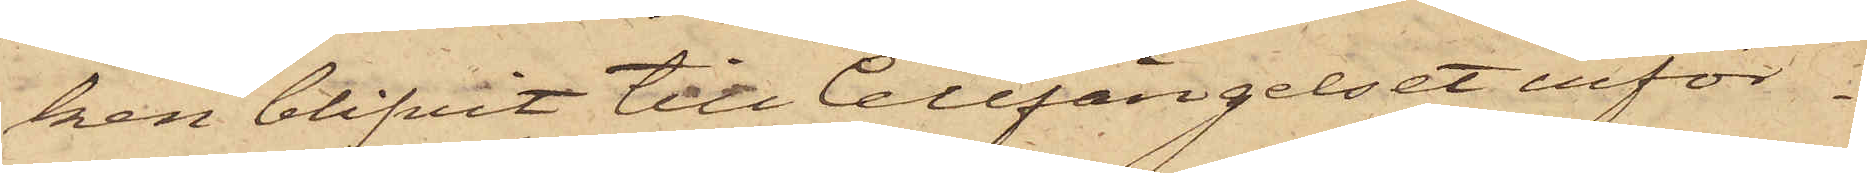ken blifvit till Cellfängelset inför¬
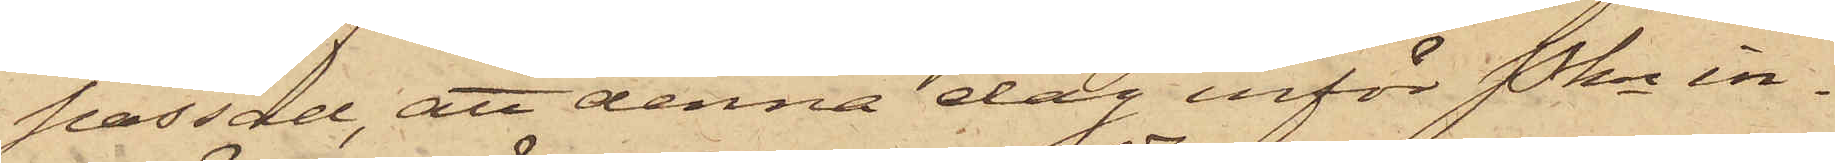passad, att denna dag inför Pkn in¬
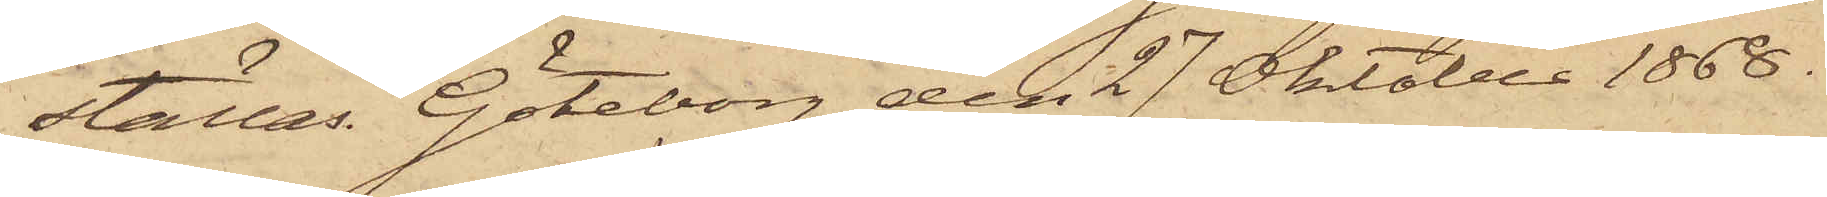ställas. Göteborg den 27 Oktober 1868.
